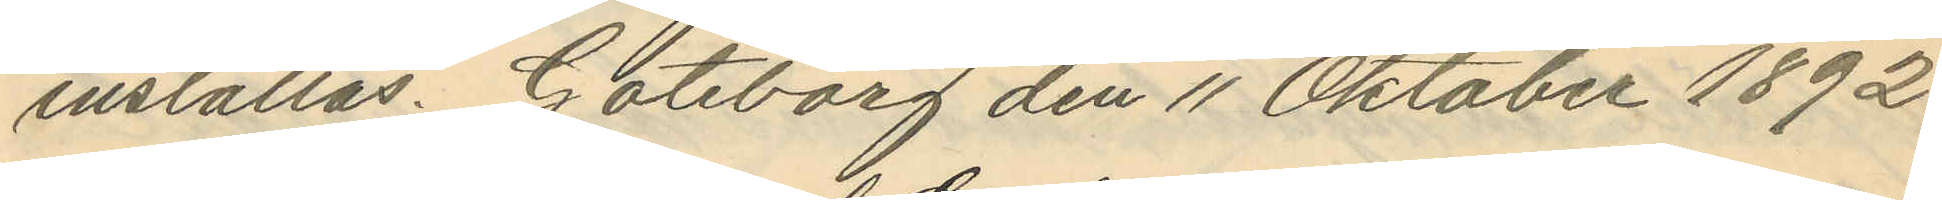inställas. Göteborg den 11 Oktober 1892.
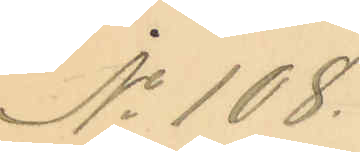No 108.
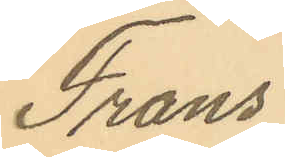Frans
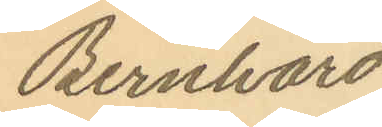Bernhard
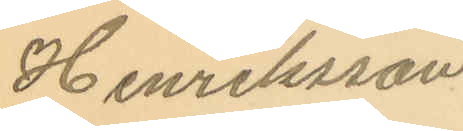Henriksson.
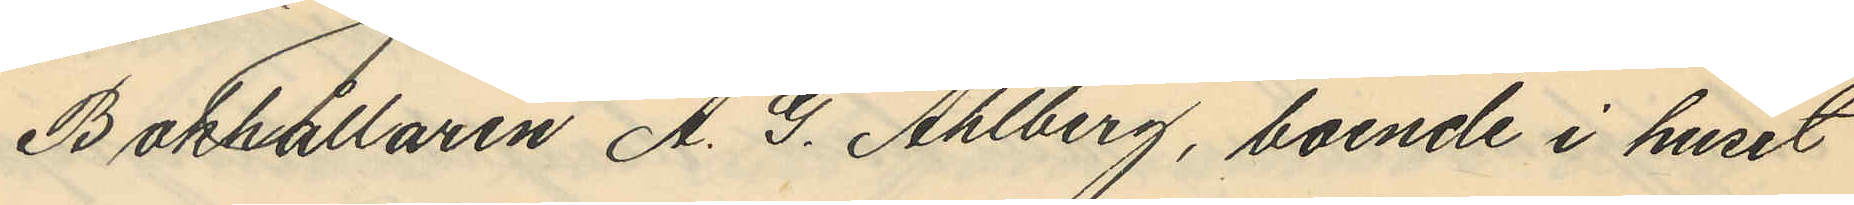Bokhållaren A. G. Ahlberg, boende i huset
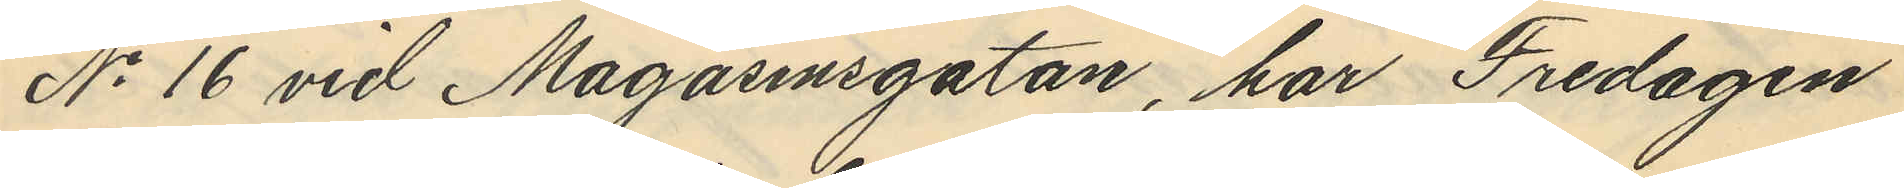No 16 vid Magasinsgatan, har Fredagen
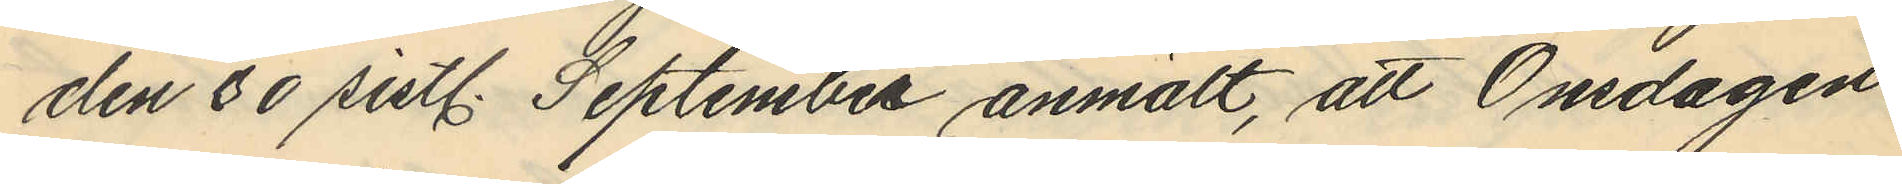den 30 sistl. September anmält, att Onsdagen
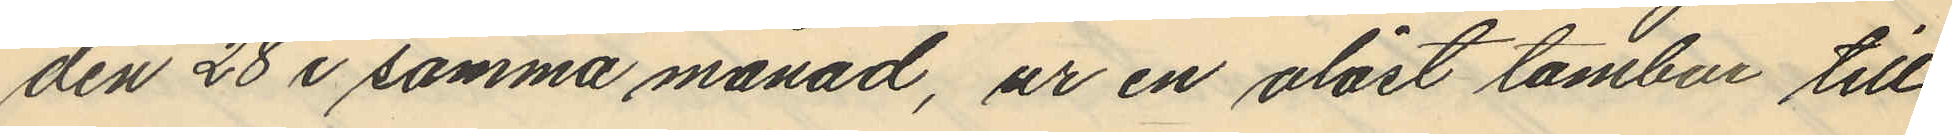den 28 i samma månad, ur en olåst tambur till
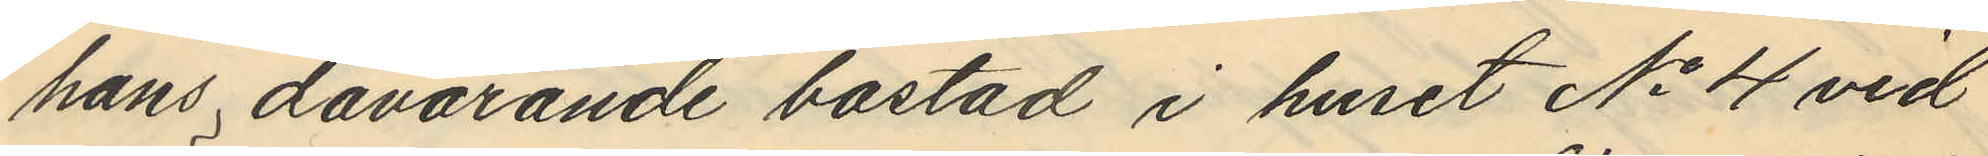hans dåvarande bostad i huset No 4 vid
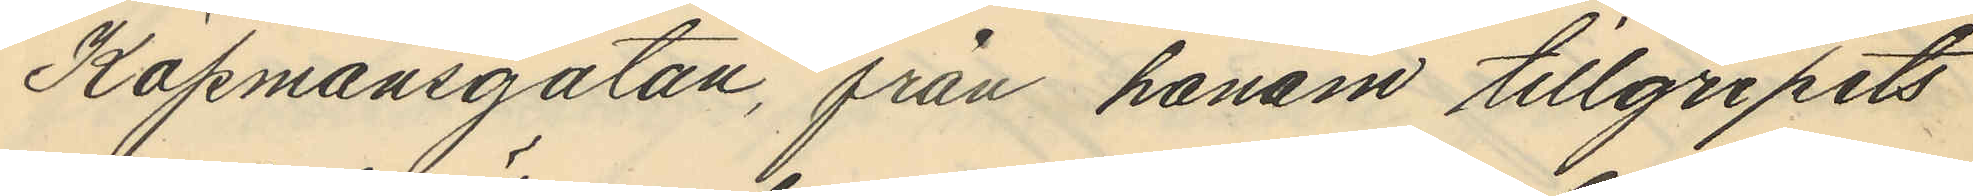Köpmansgatan, från honom tillgripits
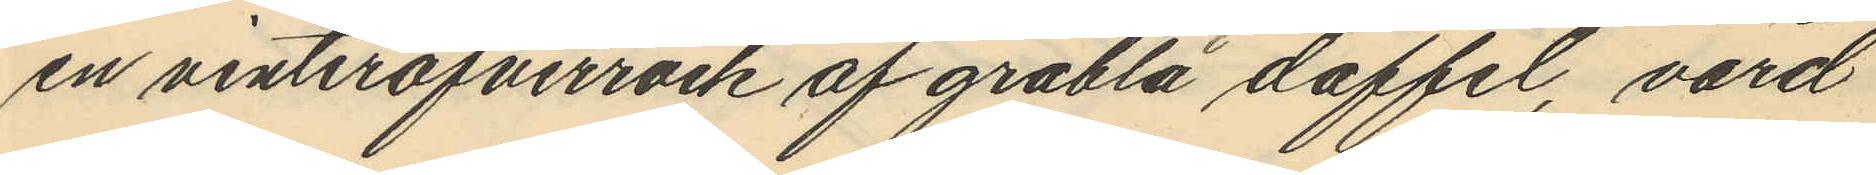en vinteröfverrock af gråblå doffel, värd
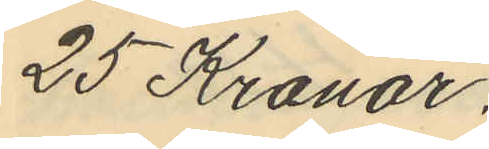25 Kronor.
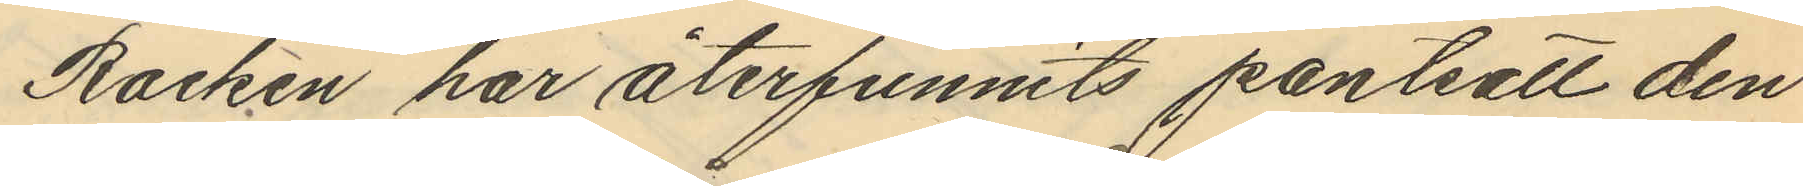Rocken har återfunnits pantsatt den
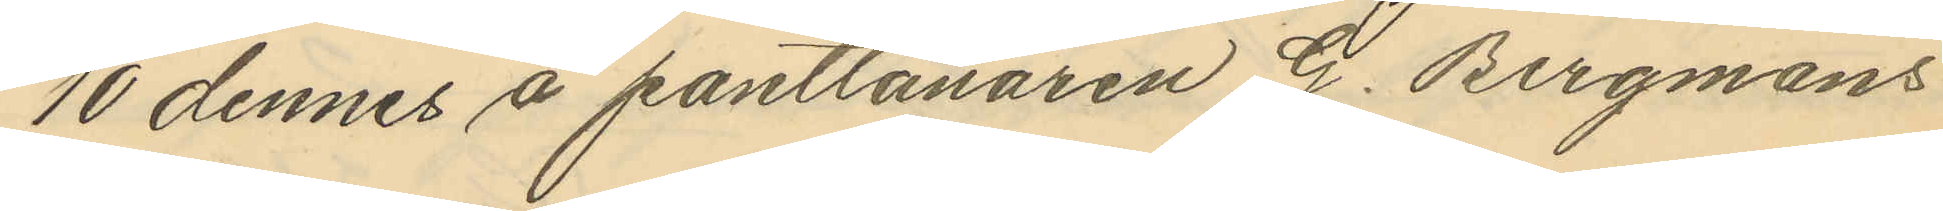10 dennes å pantlånaren G. Bergmans
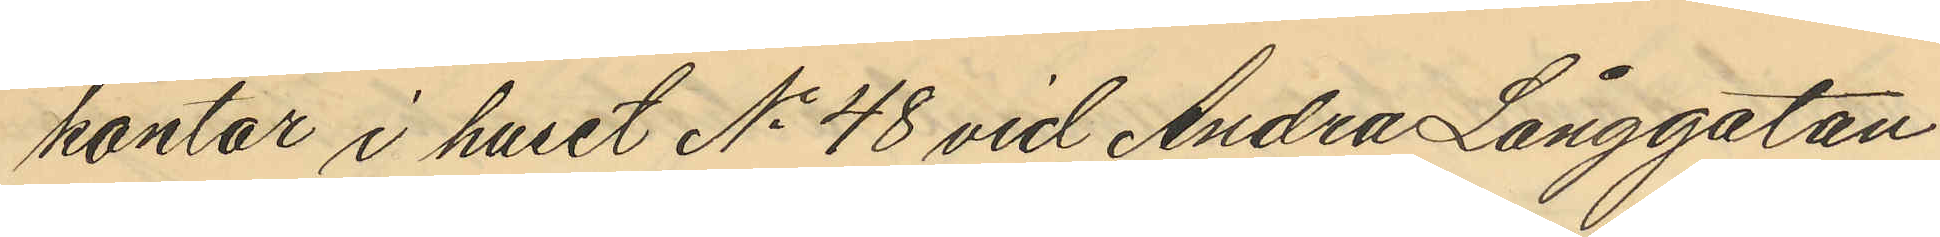kontor i huset No 48 vid Andra Långgatan
